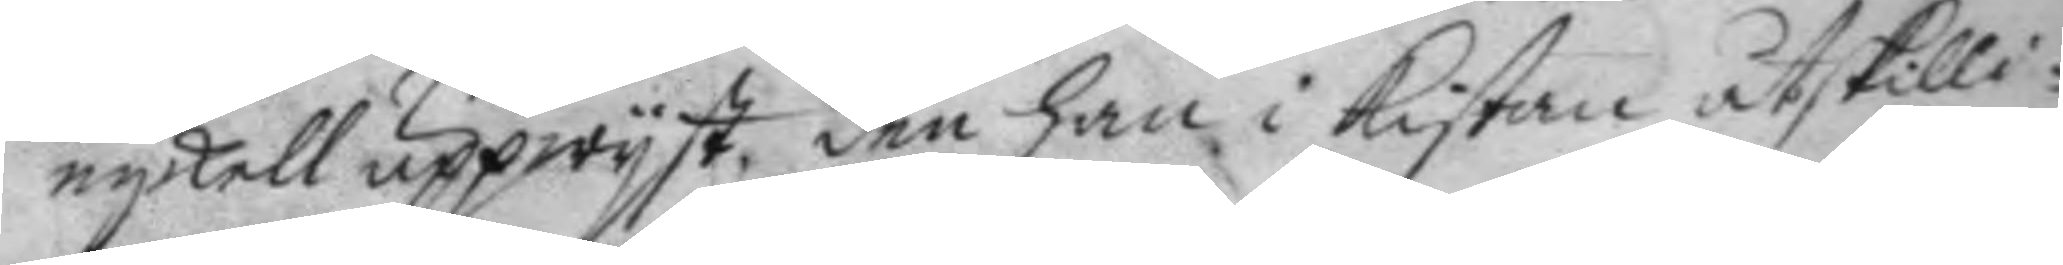nykell uppwyst, den han i kistan åtskilli¬
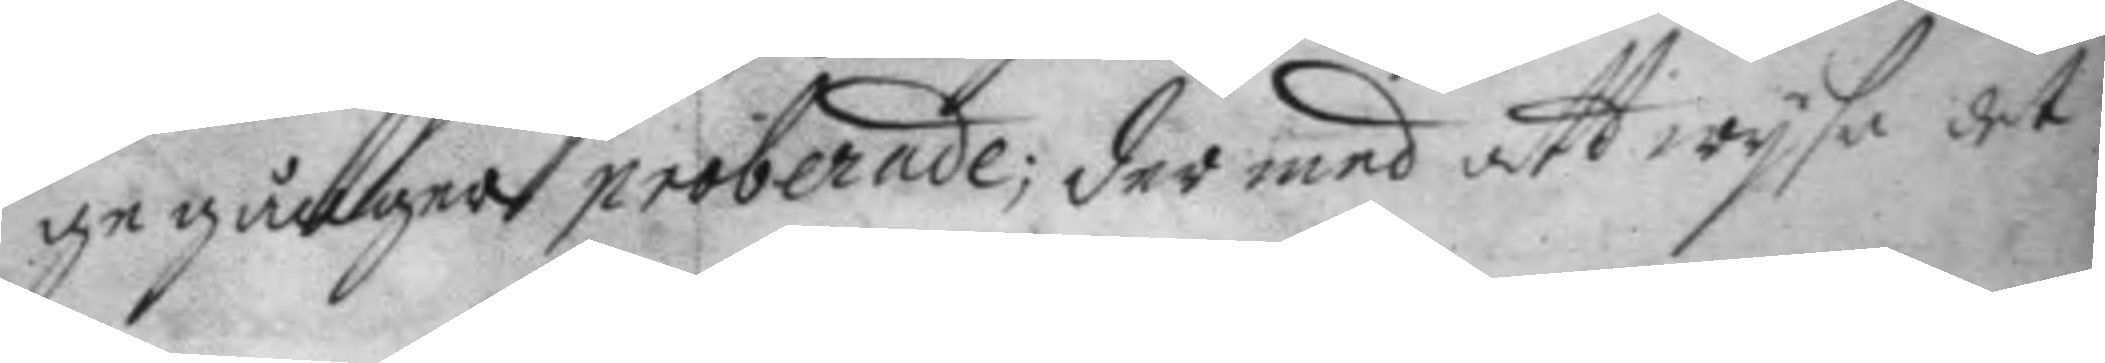ge gånger proberade; der med att wijsa det
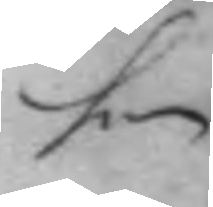hon
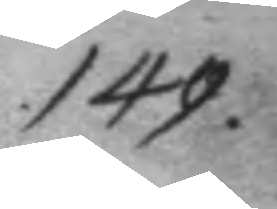149.
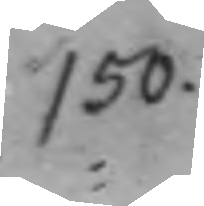150.
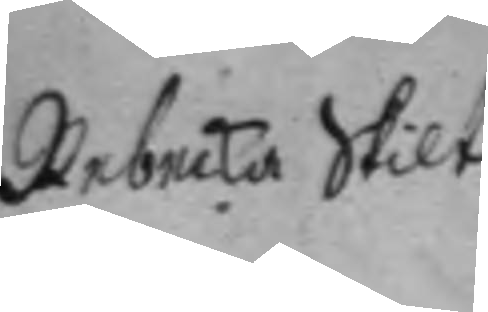Rebecka Skilt.
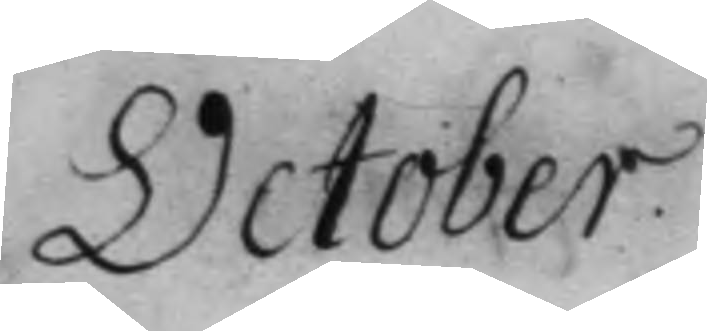October.
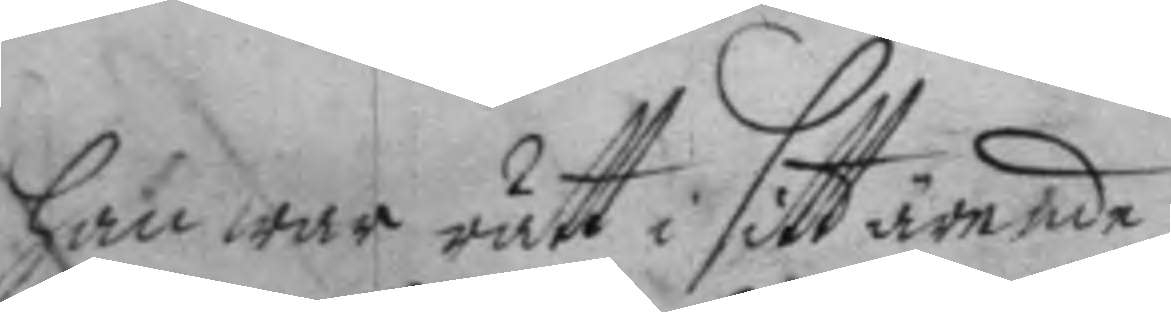han war rätt i sitt ärende.
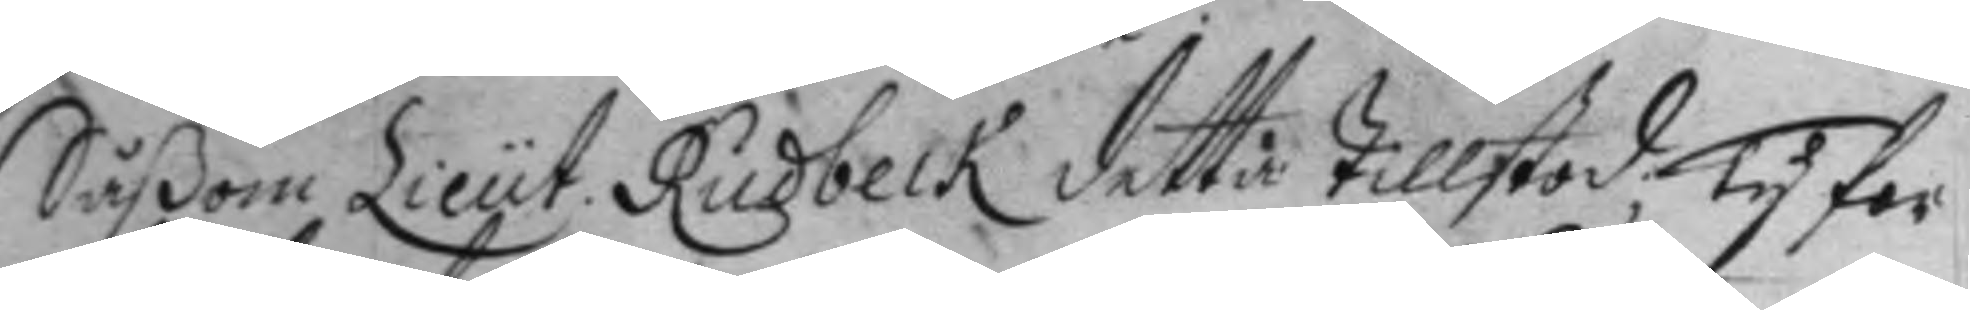Såßom Lieut. Rudbeck detta tillstod, ty for¬
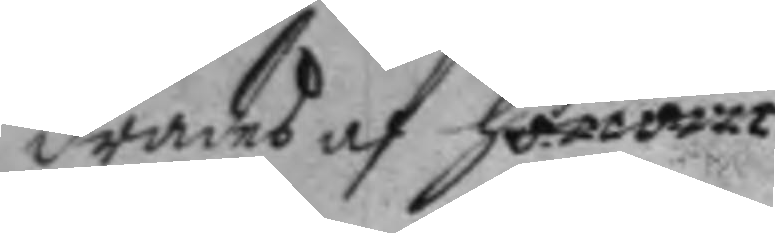drades af honom 
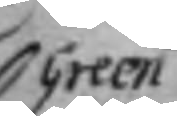Green
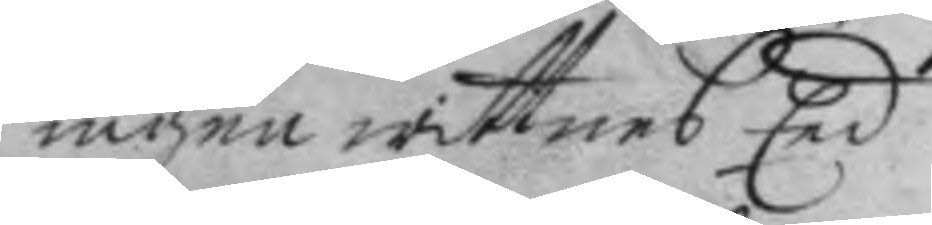ingen wittnes Eed
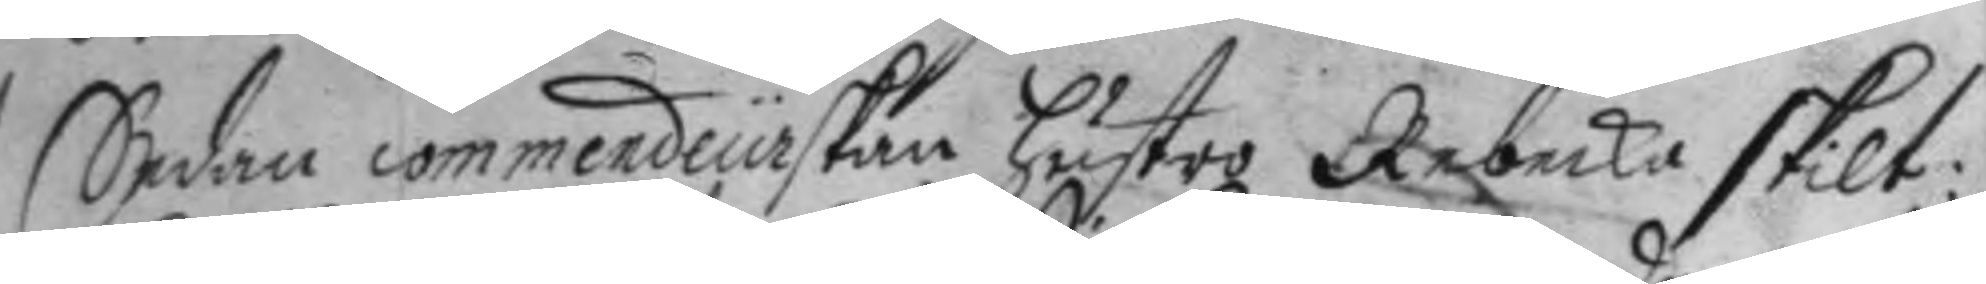Sedan Commendeurskan hustro Rebecka skilt:
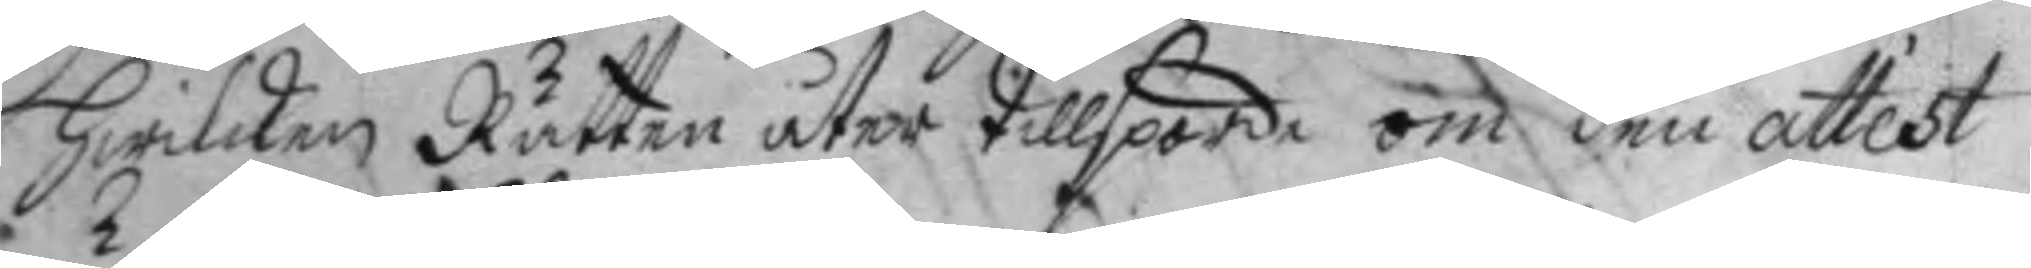hwilken Rätten åter tillsporde om den attest
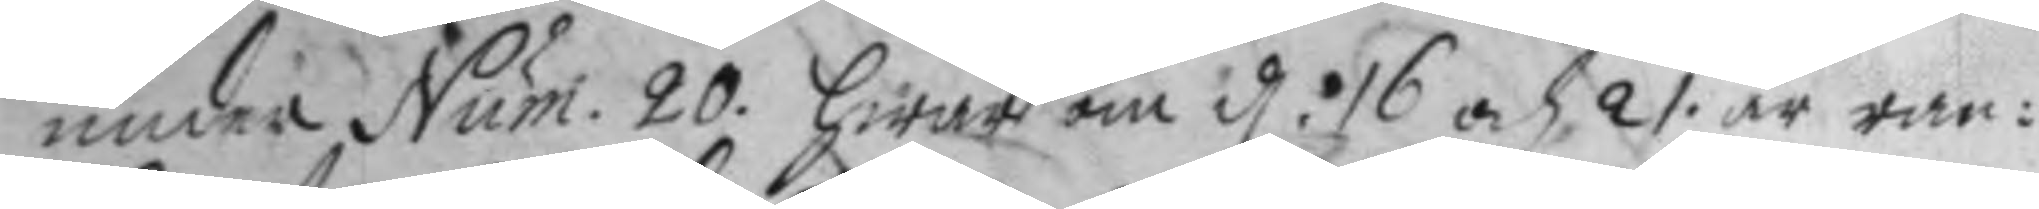under Num. 20. Hwar om d. 16 och 21 är ran¬ 
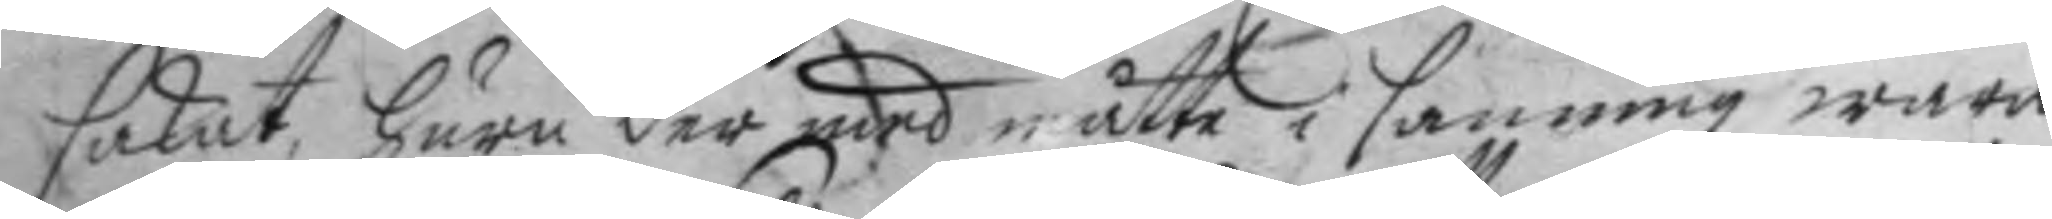sakat, huru der med måtte i sanning wara
